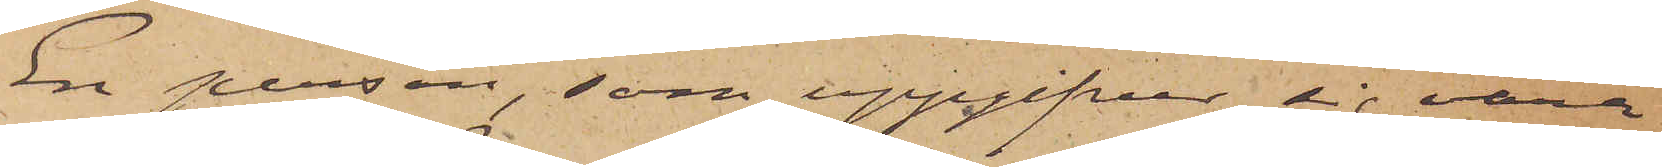En person, som uppgifver sig vara
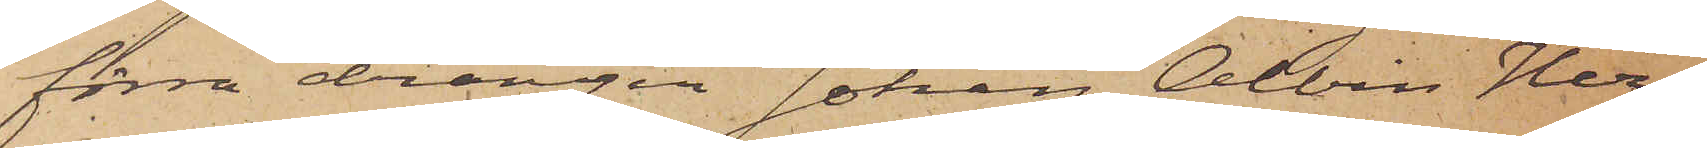förra drängen Johan Albin Her¬
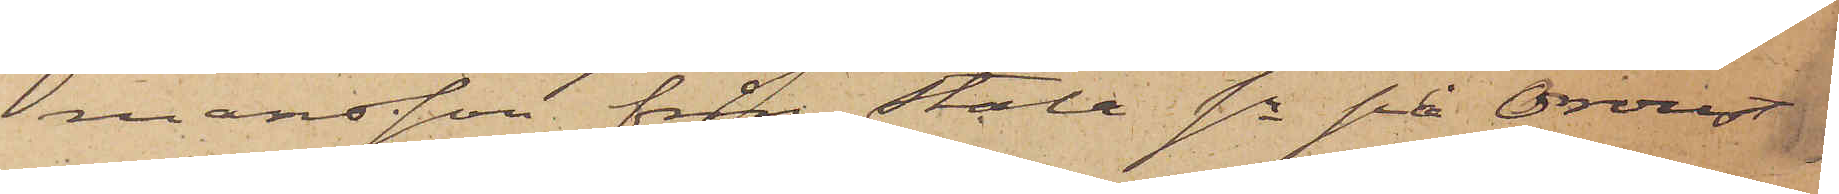mansson från Stala sn på Oroust
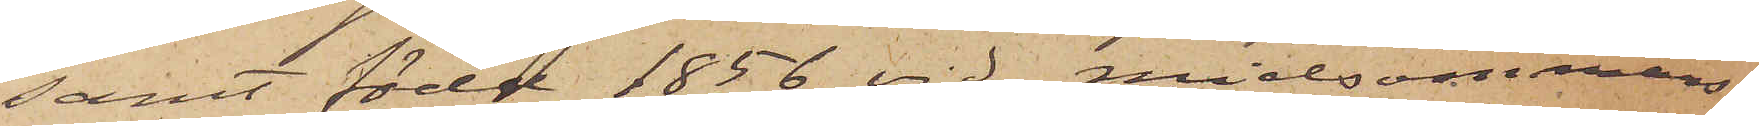samt född 1856 vid midsommars¬
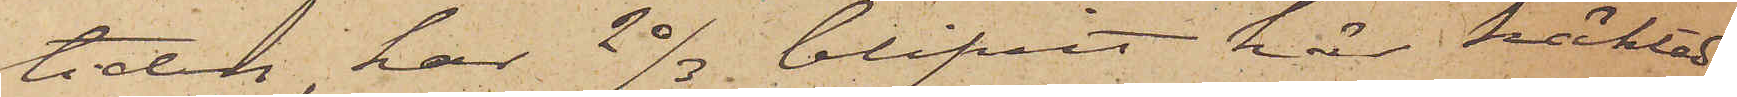tiden, har 20/3 blifvit här häktad
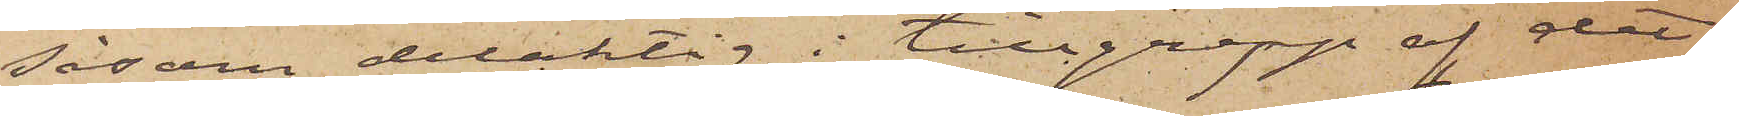såsom delaktig i tillgrepp af det
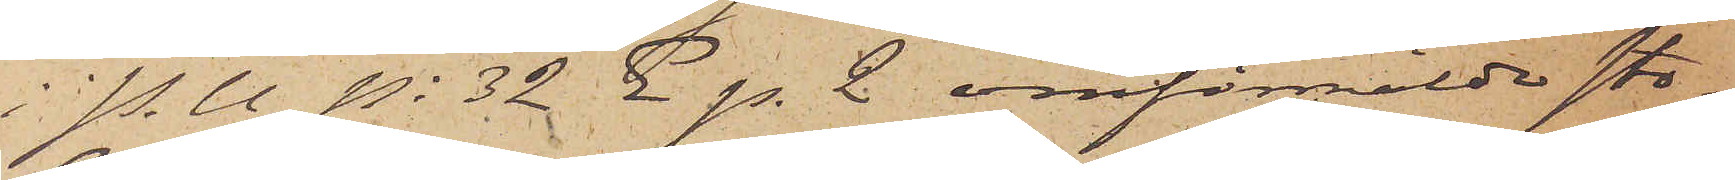i P. U No 32 E p. 2 omförmälde sto¬
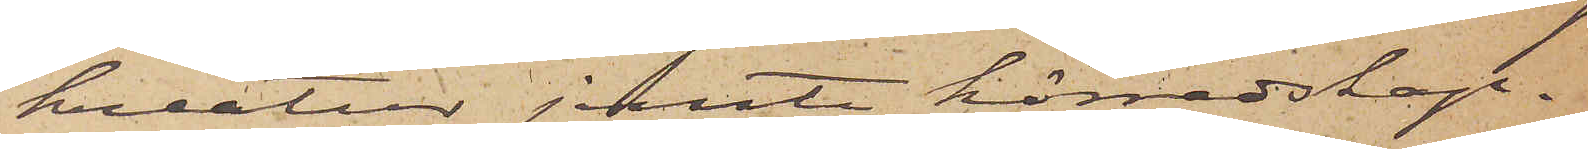kreatur jemte körredskap.
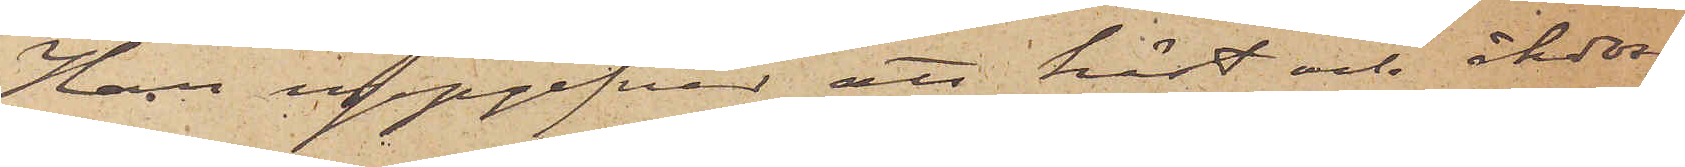Han uppgifver att häst och åkdon
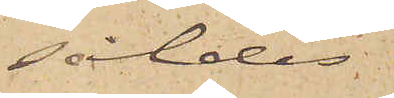såldes
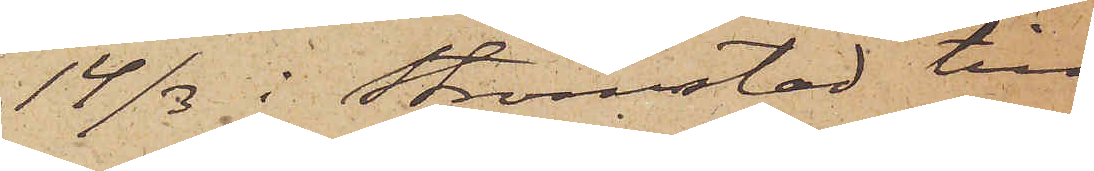14/3 i Strömstad till
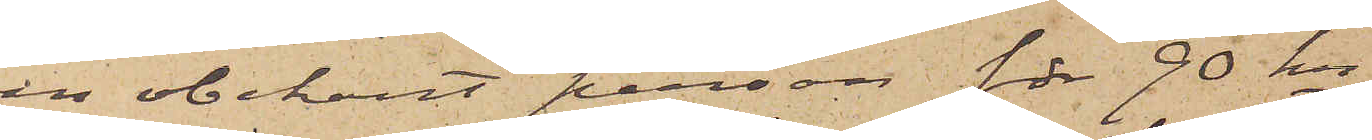en obekant person för 90 kr
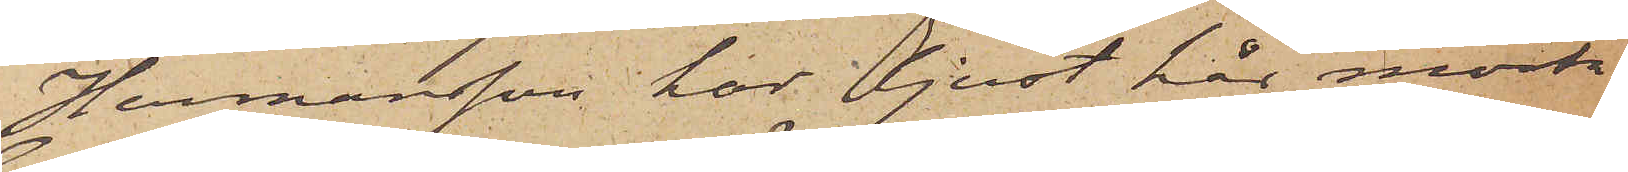Hermansson har ljust hår, mörk¬
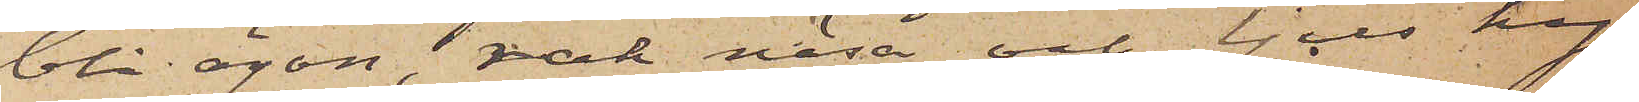blå ögon, rak näsa och ljus hy
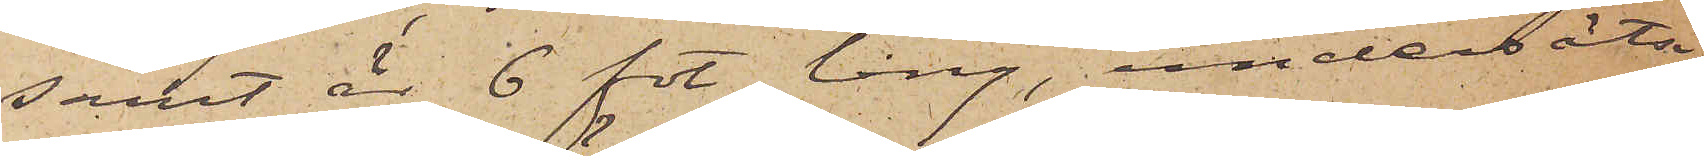samt är 6 fot lång, undersätsig
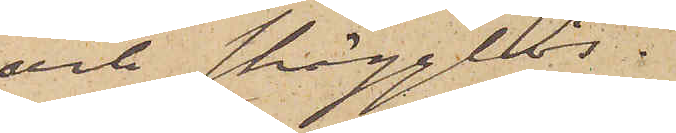och skägglös.
